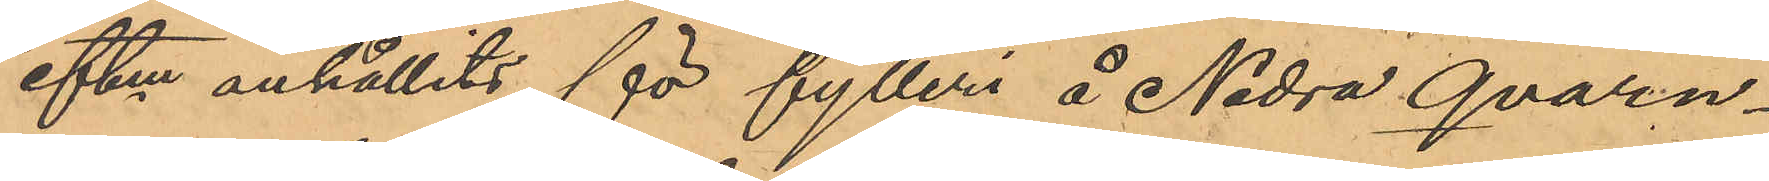eftm anhållits för fylleri å Nedra Qvarn¬
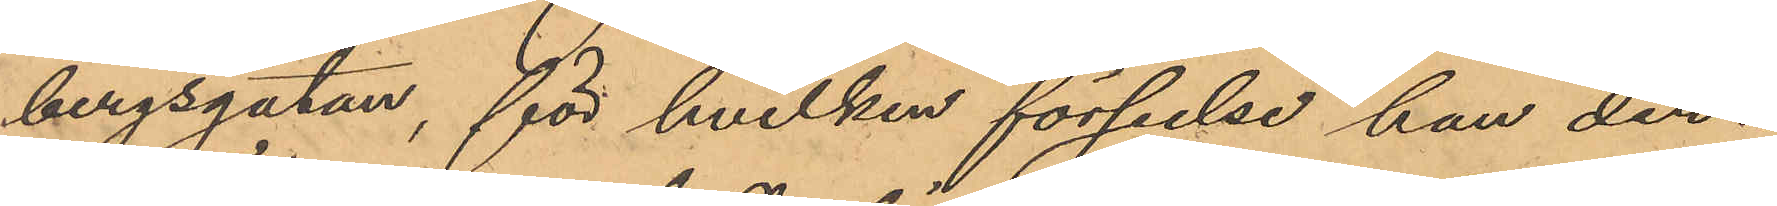bergsgatan, för hvilken förseelse han der¬
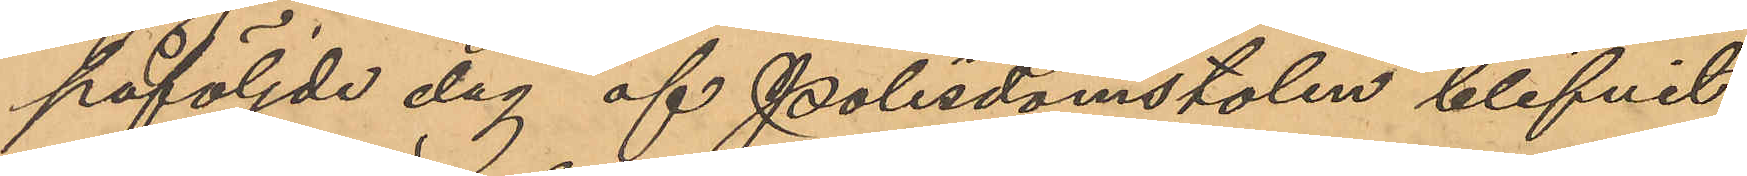påföljde dag af Polisdomstolen blifvit
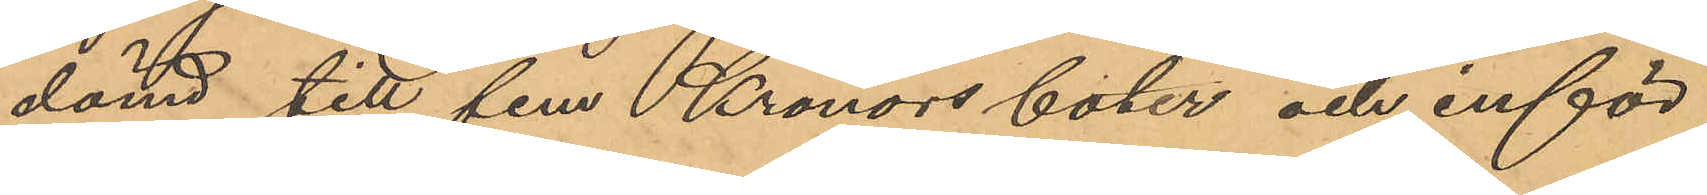dömd till fem Kronors böter och inför¬
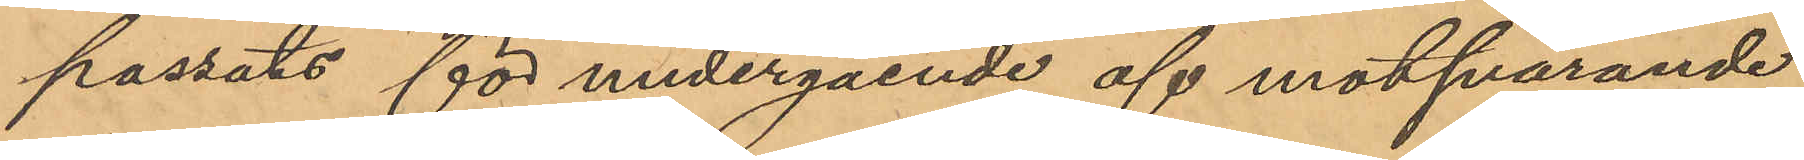passats för undergående af motsvarande
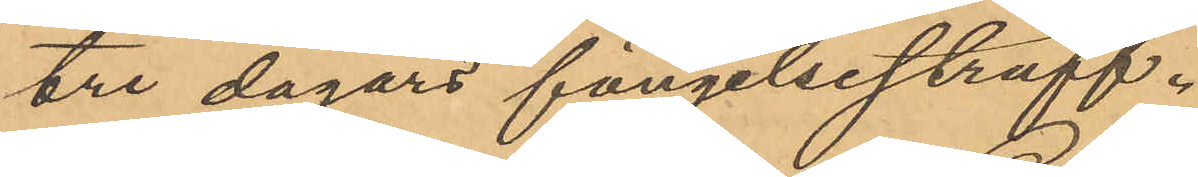tre dagars fängelsestraff.
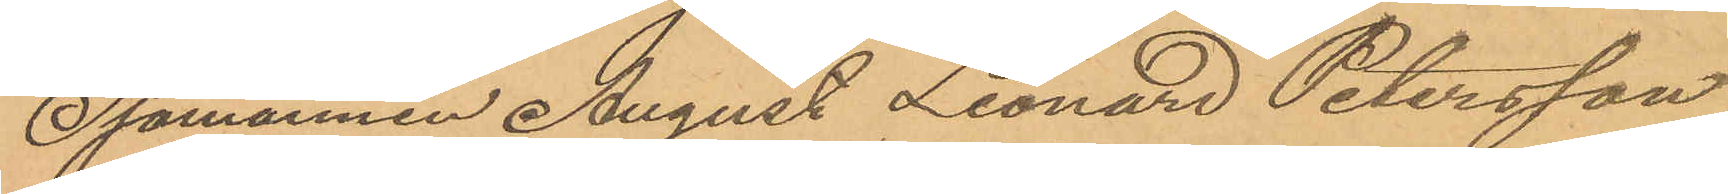Sjömannen August Leonard Petersson
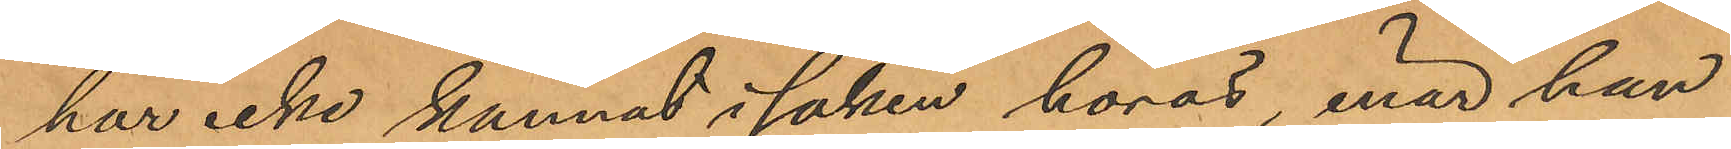har icke kunnat i saken höras, enär han
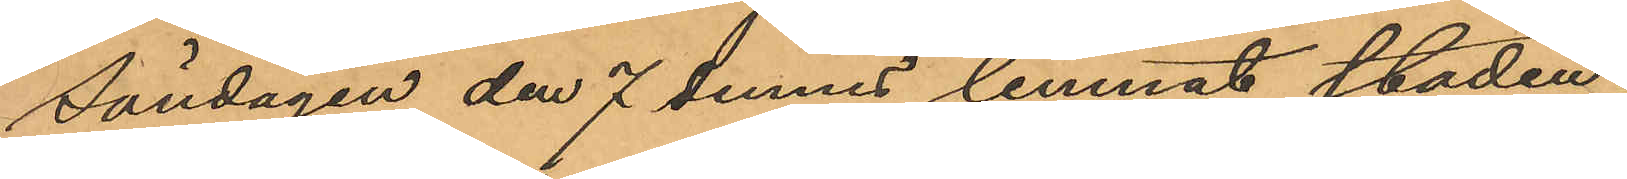Söndagen den 7 dennes lemnat staden.
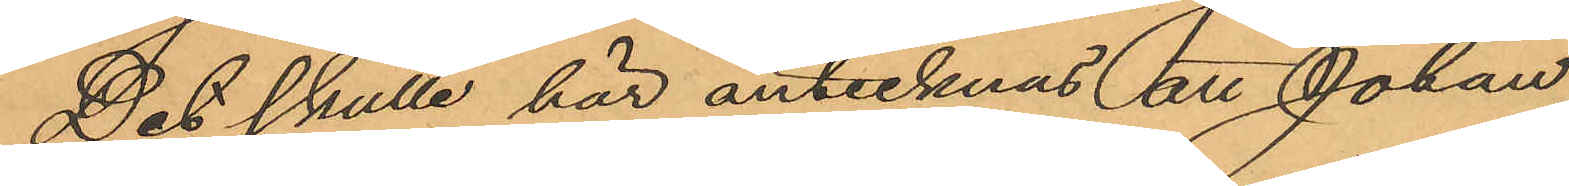Det skulle här antecknas att Johan
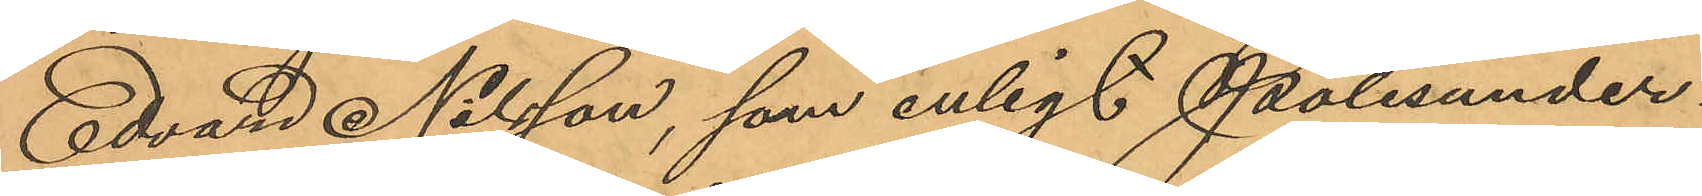Edvard Nilsson, som enligt Polisunder¬
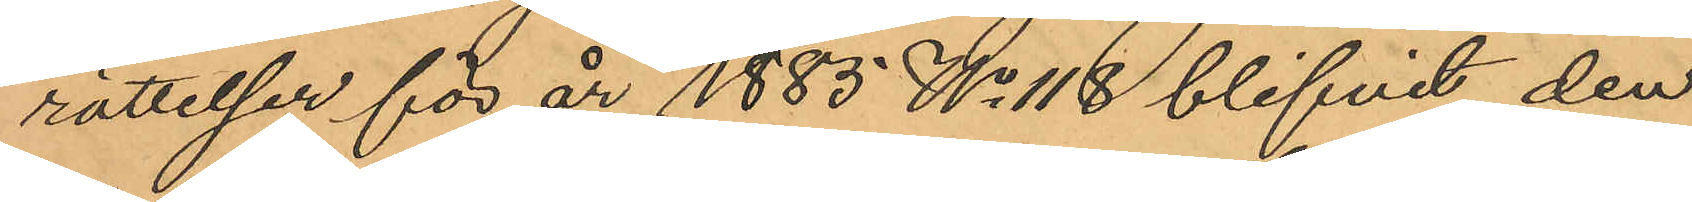rättelser för år 1885 No 118 blifvit den
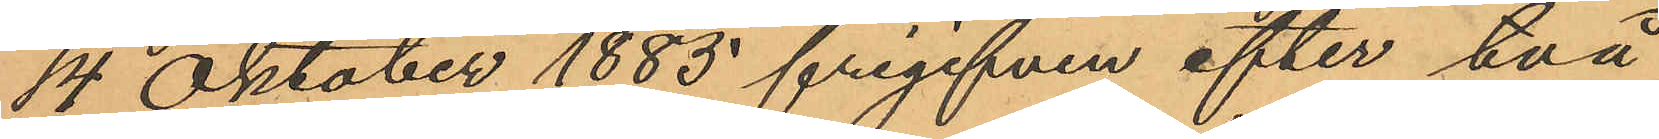14 Oktober 1885 frigifven efter två
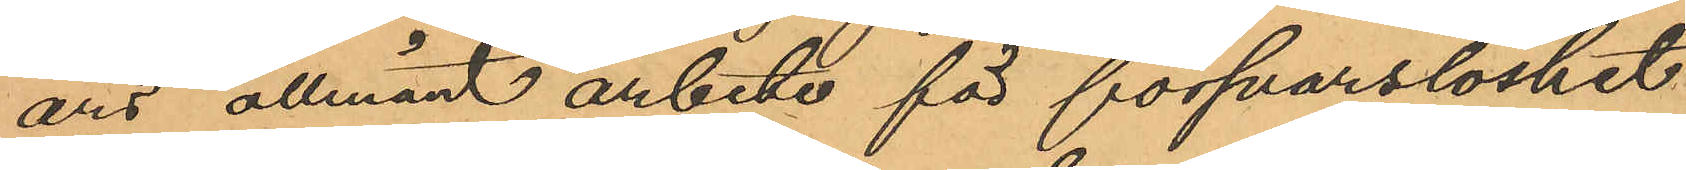års allmänt arbete för försvarslöshet
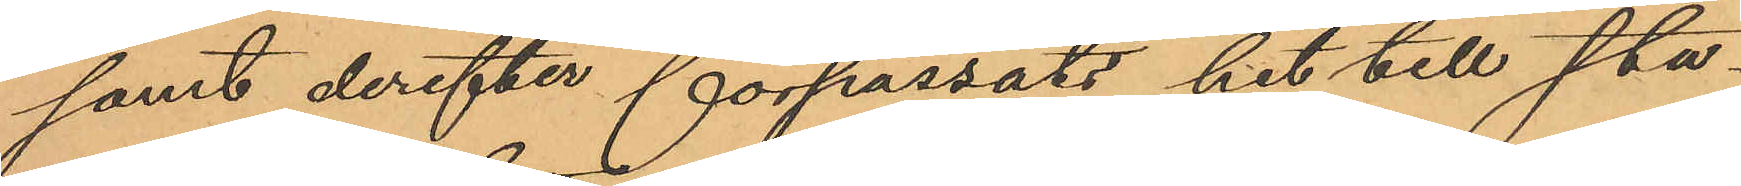samt derefter förpassats hit till sta¬
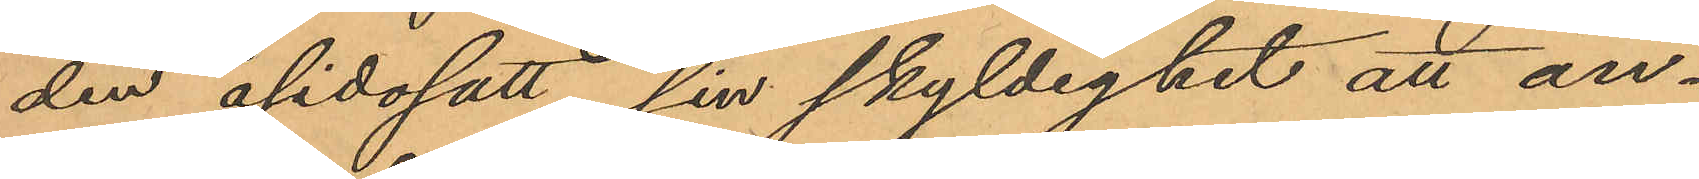den åsidosatt sin skyldighet att an¬
